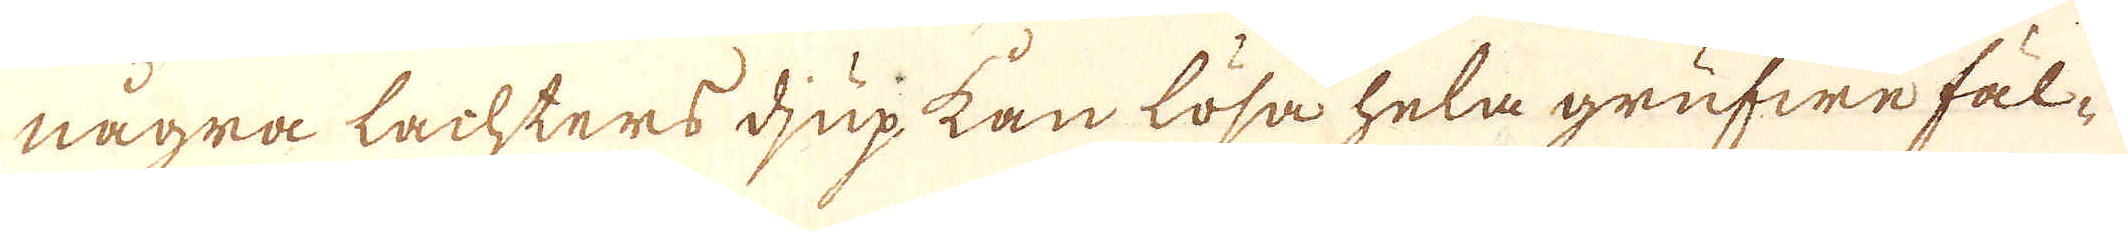några lachters djup kan lösa hela grufwe fäl-
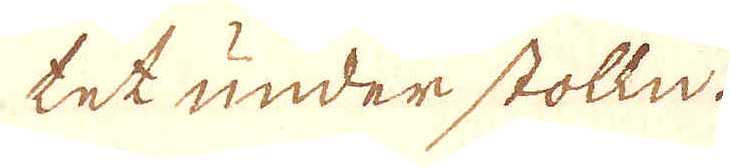tet under stolln.
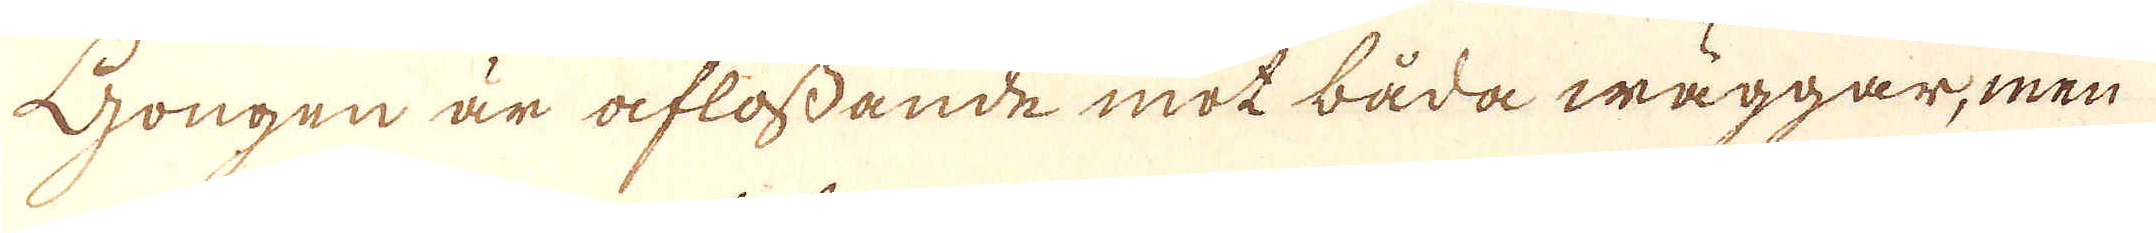Gongen är aflossande mot båda wäggar, men
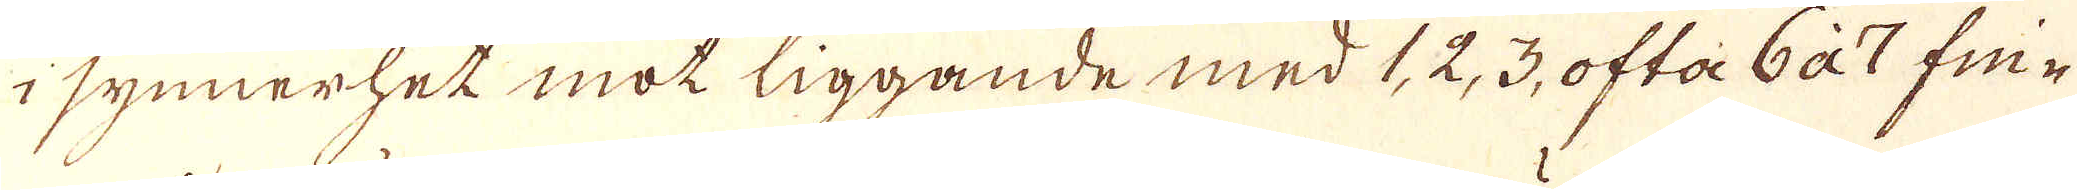i synnerhet mot liggande med 1, 2, 3, ofta 6 à 7 fri-
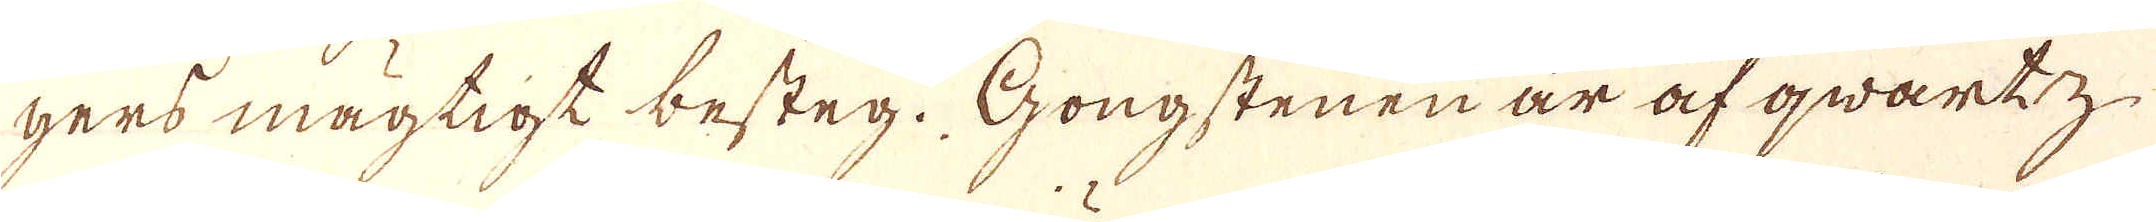gers mägtigt besteg. Gongstenen är af qwartz
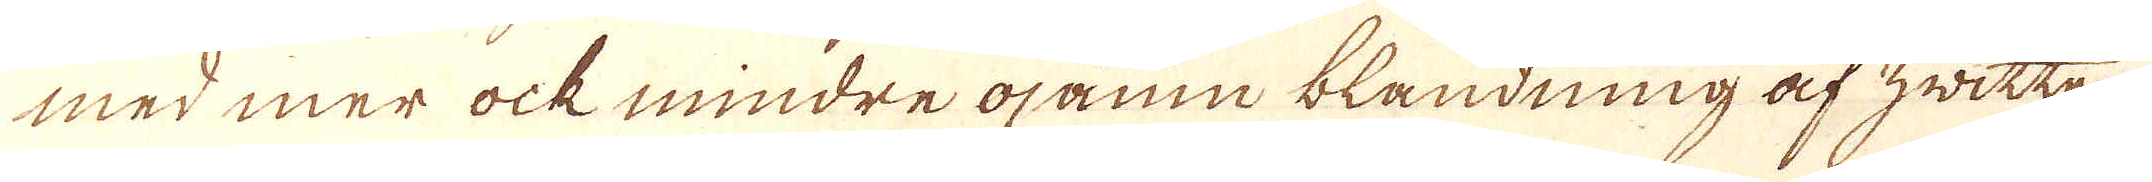med mer ock mindre ojamn blandning af hwitter
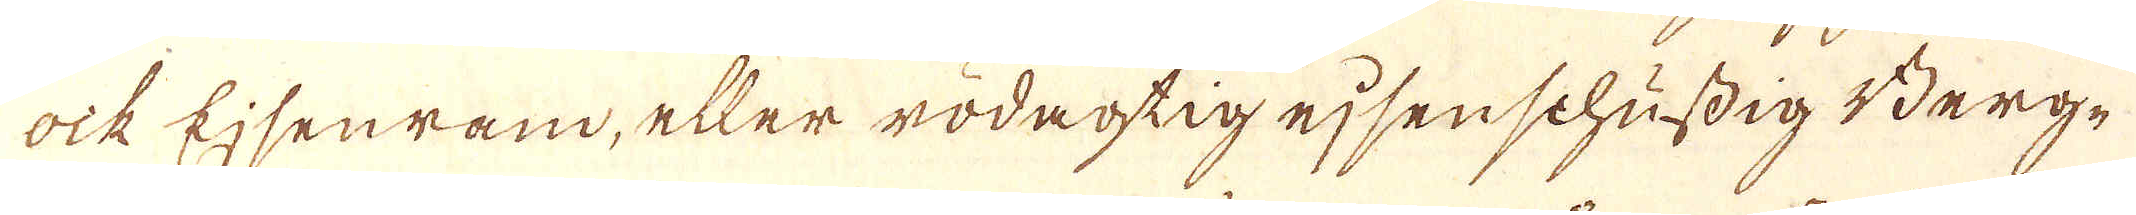ock Ejsenram, eller rödagtig ejsenschufdig Berg-
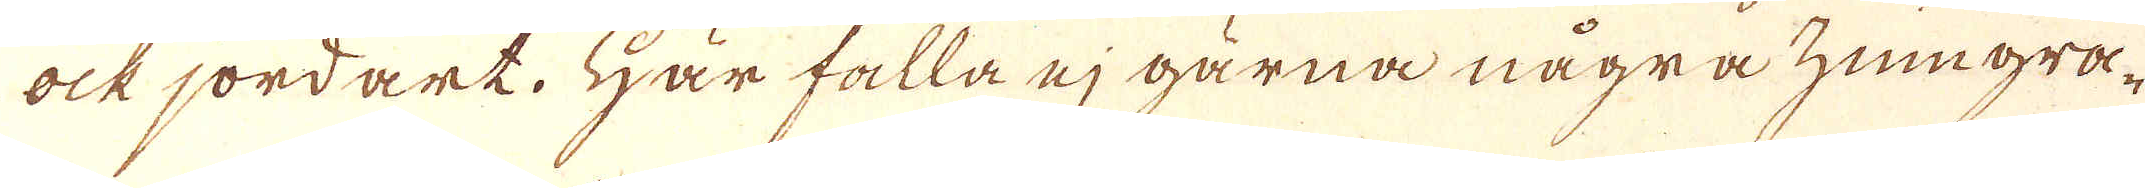ock jordart. Här falla ej gärna några zungra-
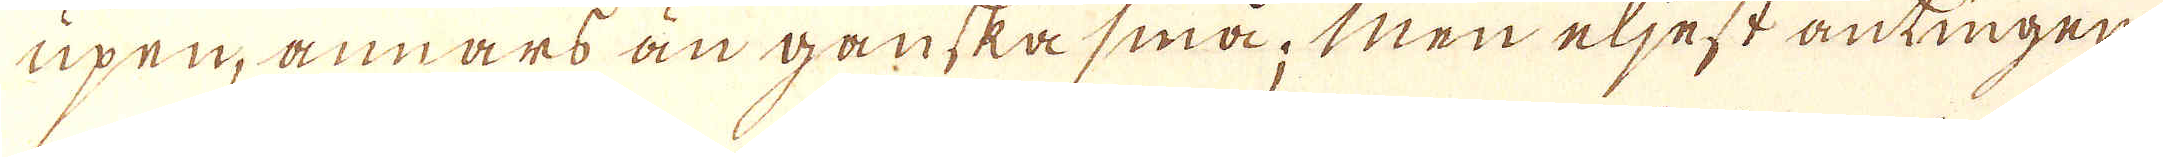upen, annars än ganska små; Men eljest antingen
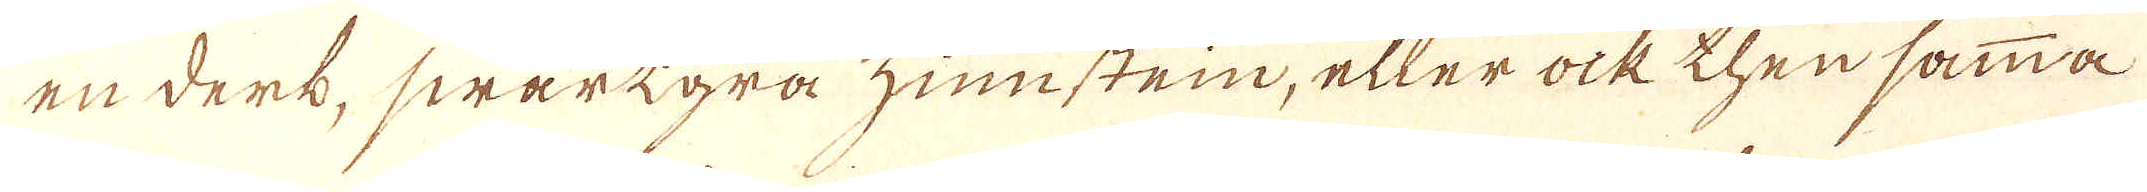en derk, swartgrå zinnstein, eller ock thensamma
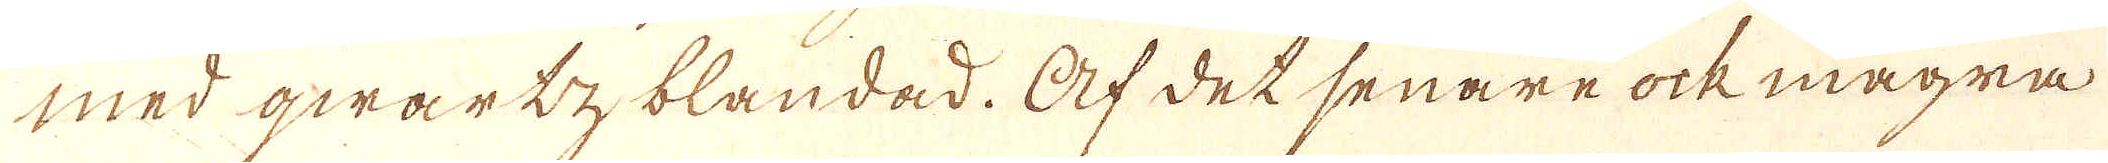med qwarty blandad. Af det senare ock magra
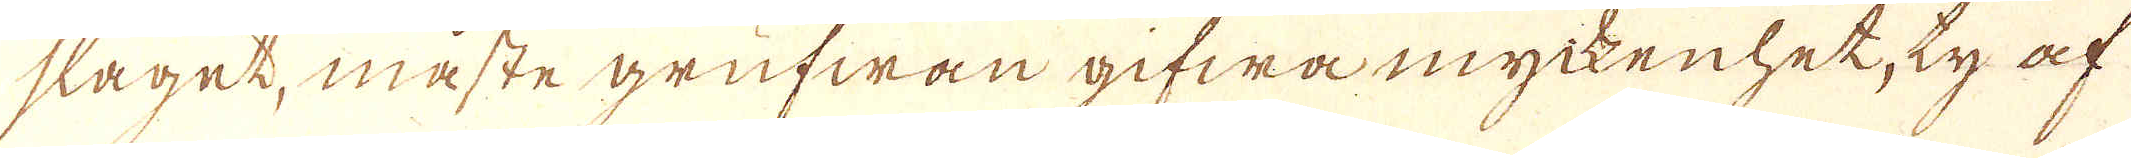slaget, måste grufwan gifwa myckenhet, ty af
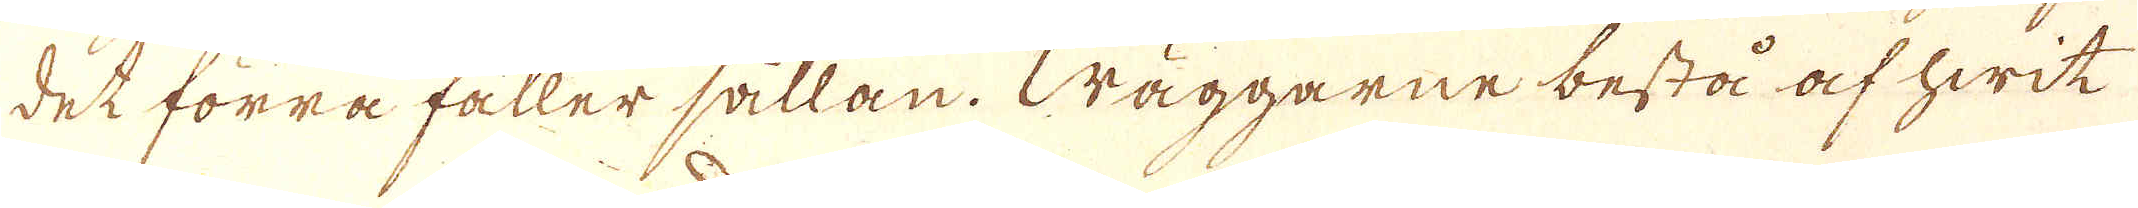det förra fåller sällan. Wäggarne bestå af hwit
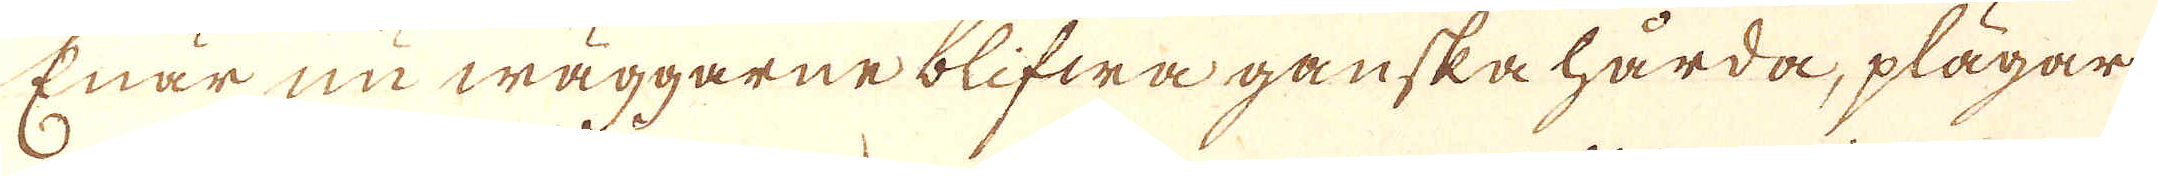Erär nu wäggarne blifwa ganska härda, plägar
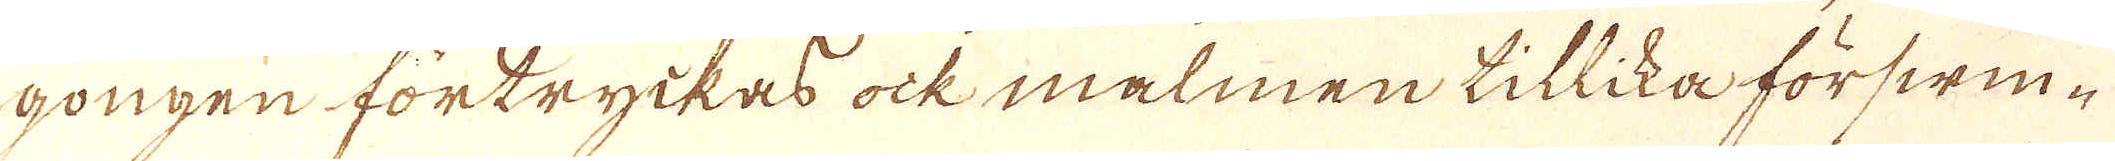gongen förtryckas ock malmen tillika förswin-
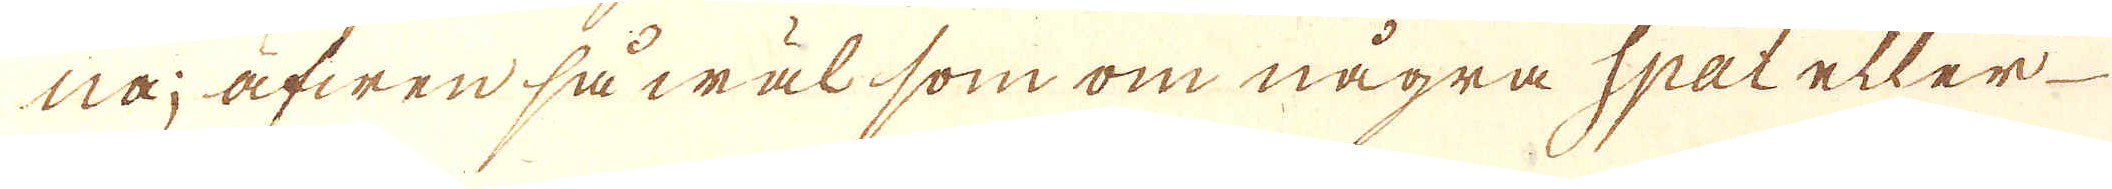nå; äfwen så wäl som om några Spat eller
